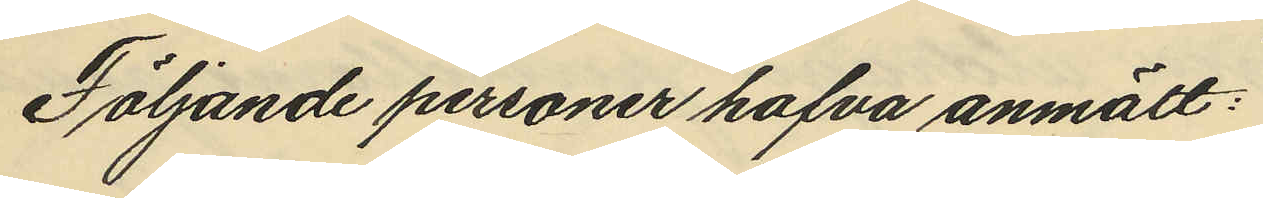Följande personer hafva anmält:
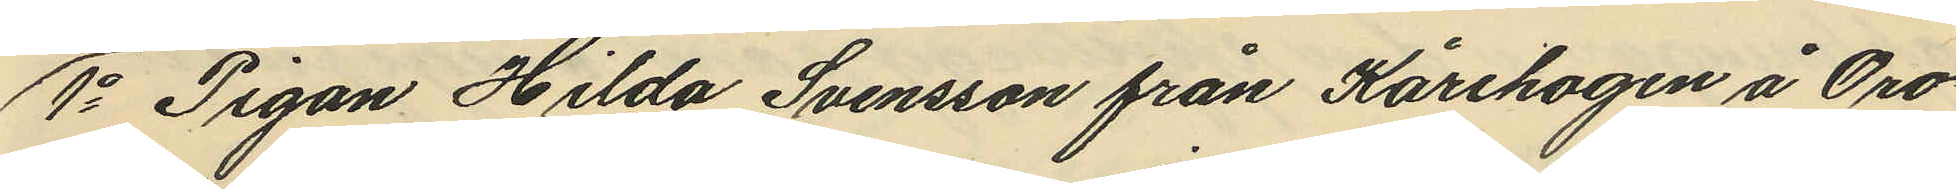1o Pigan Hilda Svensson från Kårehogen å Oro¬
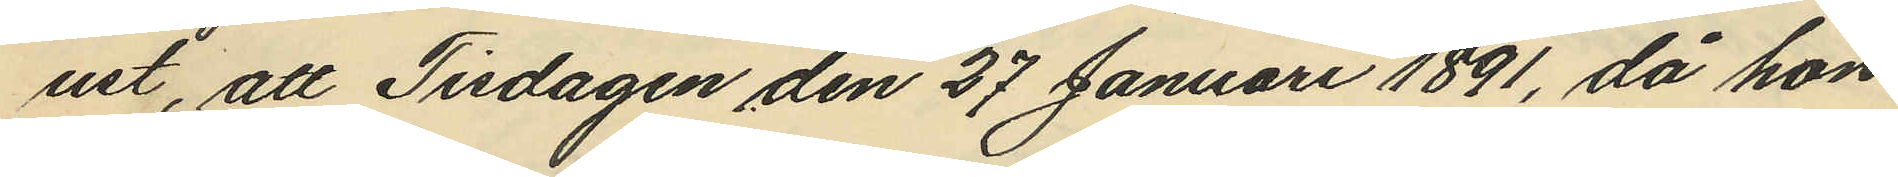ust, att Tisdagen den 27 Januari 1891, då hon
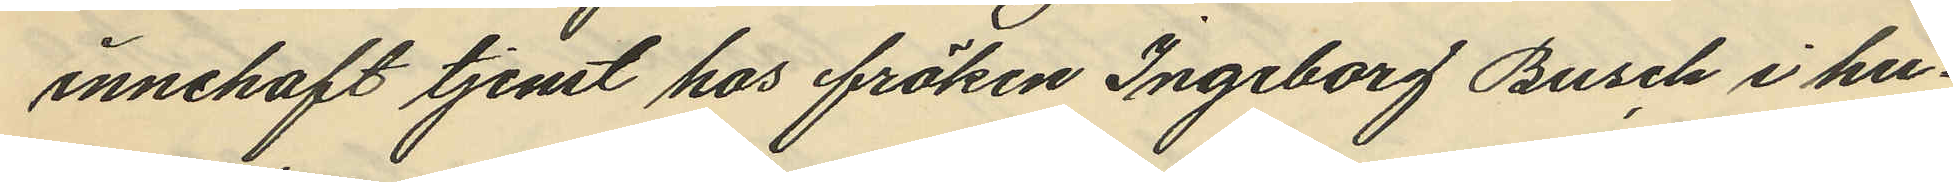innehaft tjenst hos fröken Ingeborg Busch i hu¬
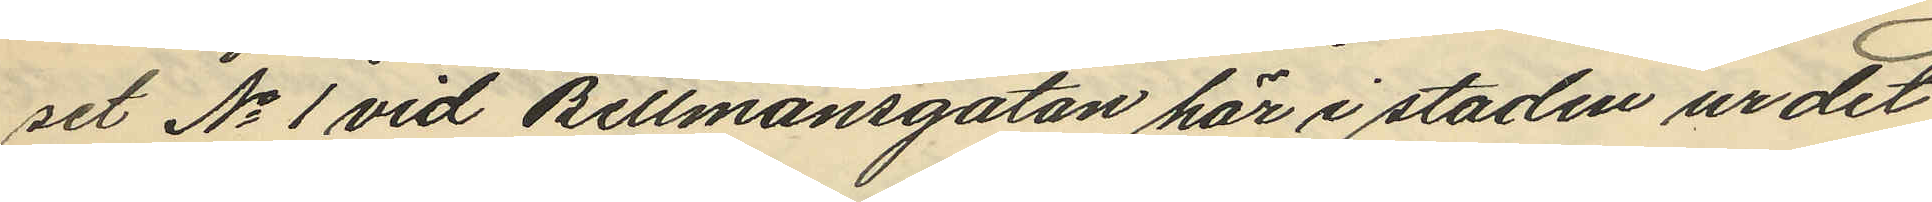set No 1 vid Bellmansgatan här i staden ur det
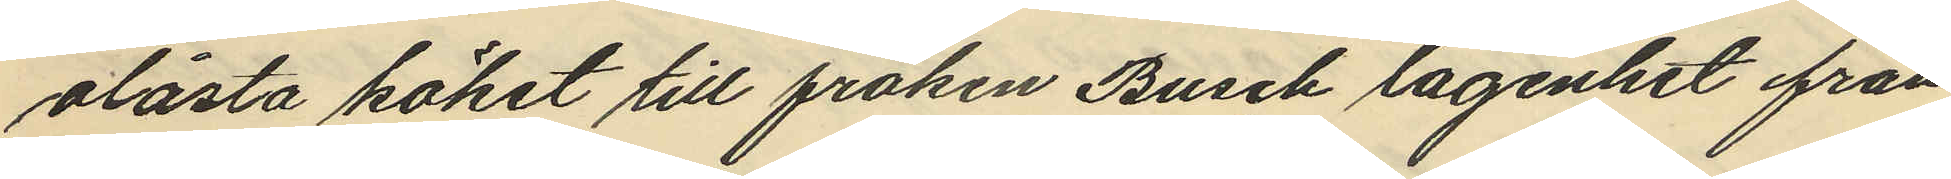olåsta köket till fröken Busch lägenhet från
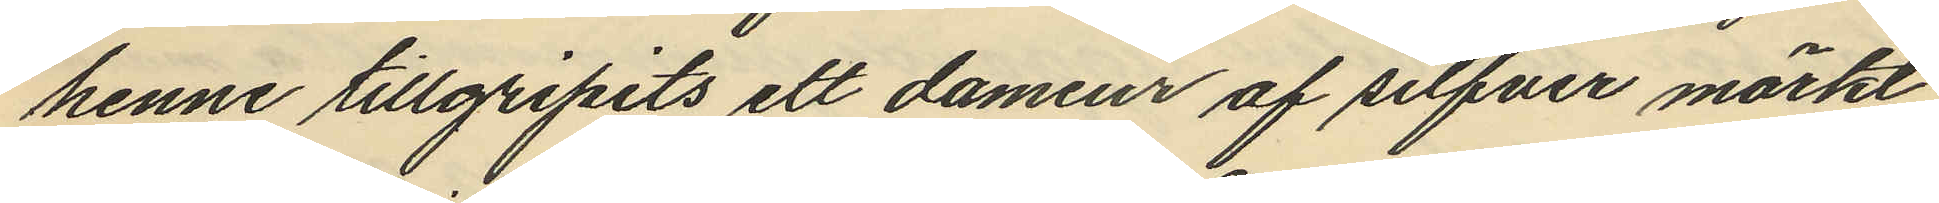henne tillgripits ett damur af silfver märkt
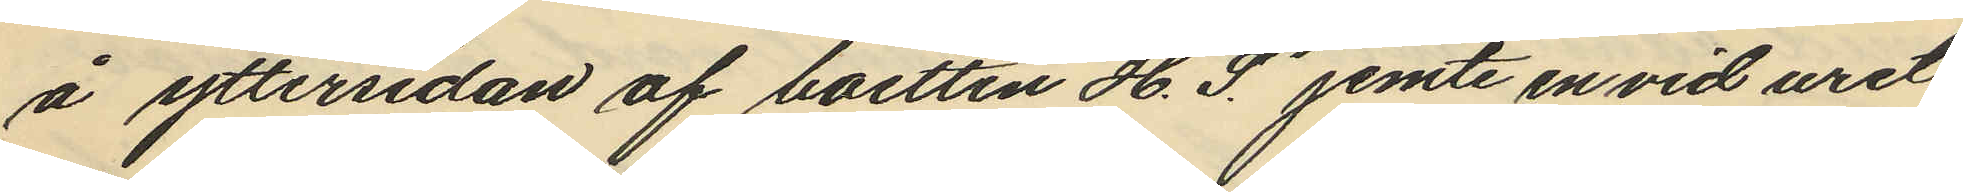å yttersidan af boetten "H. S." jemte en vid uret
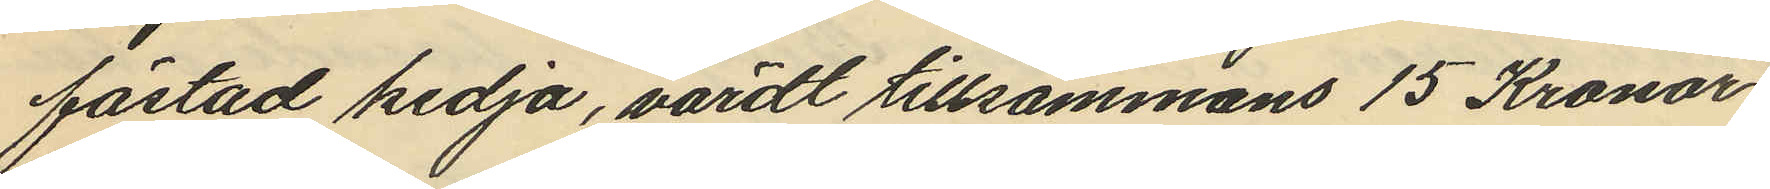fästad kedja, värdt tillsammans 15 Kronor.
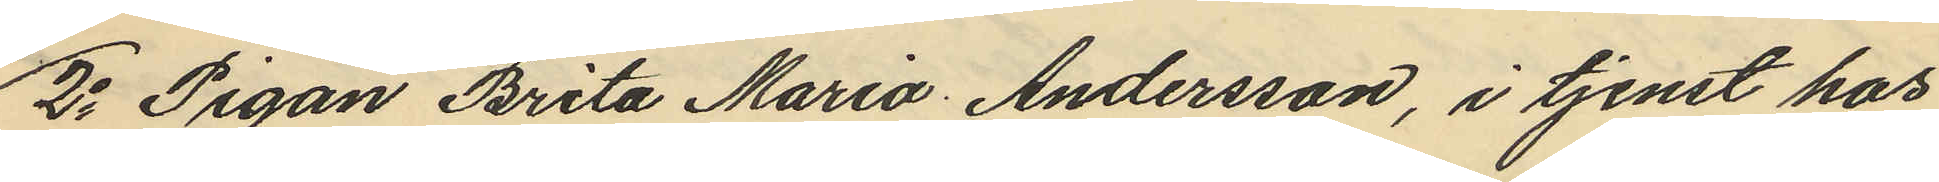2o Pigan Brita Maria Andersson, i tjenst hos
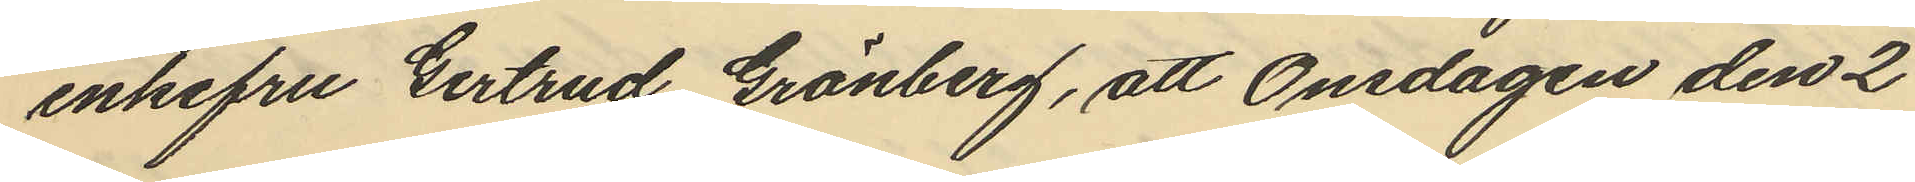enkefru Gertrud Grönberg, att Onsdagen den 2
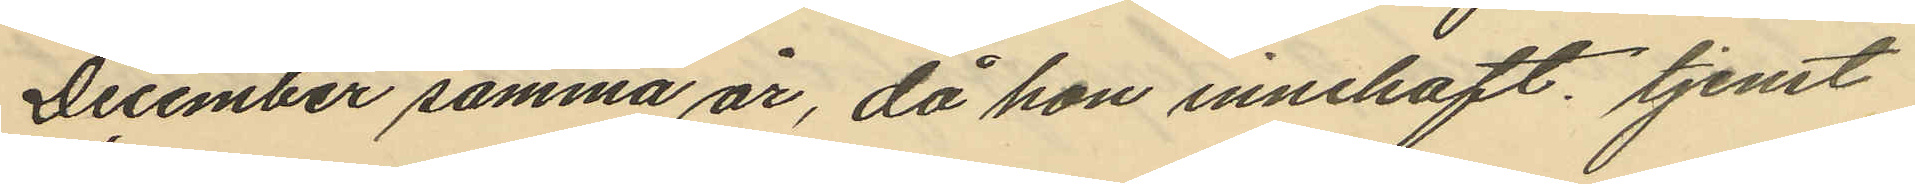December samma år, då hon innehaft tjenst
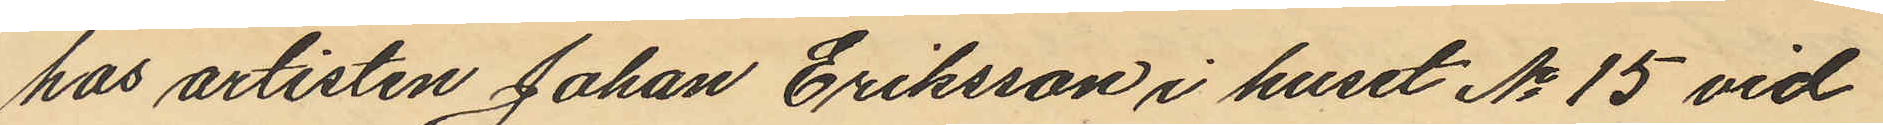hos artisten Johan Eriksson i huset No 15 vid
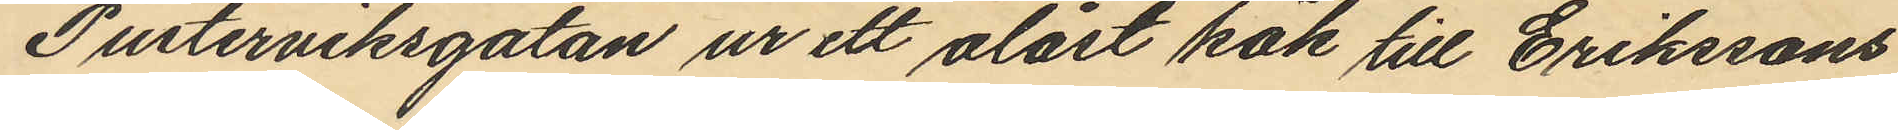Pusterviksgatan ur ett olåst kök till Erikssons
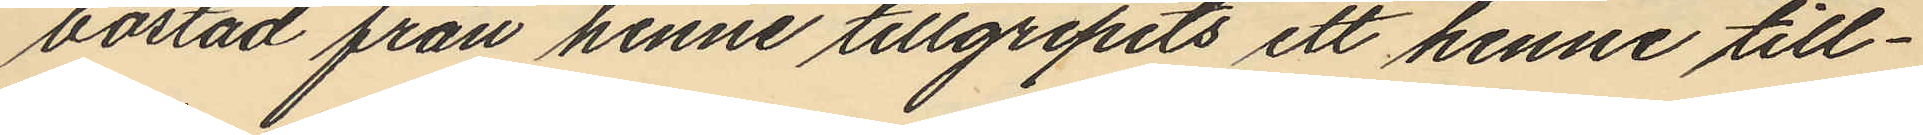bostad från henne tillgripits ett henne till¬
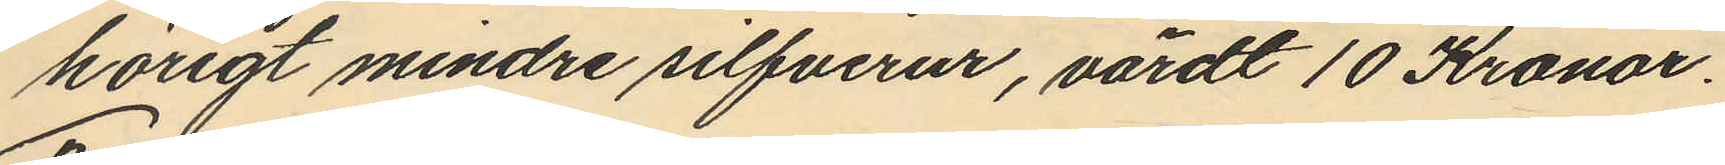hörigt mindre silfverur, värdt 10 Kronor.
